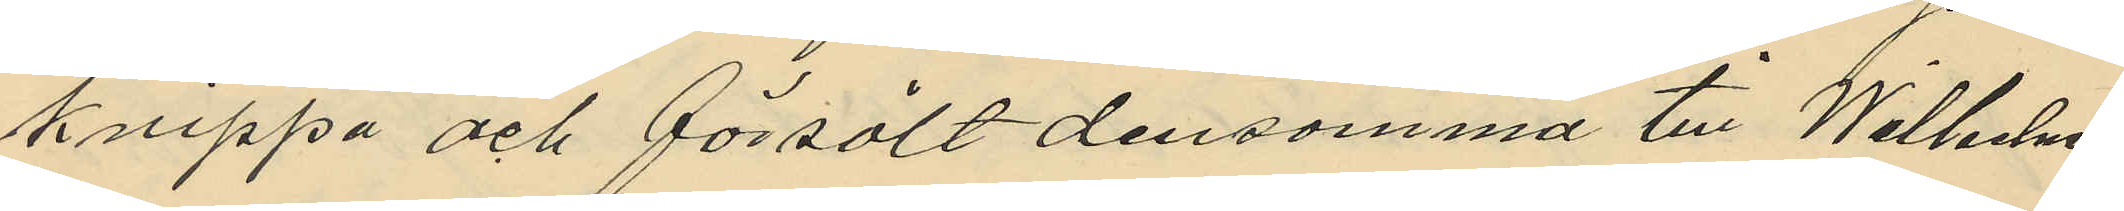knippa och försålt densamma till Wilhelms
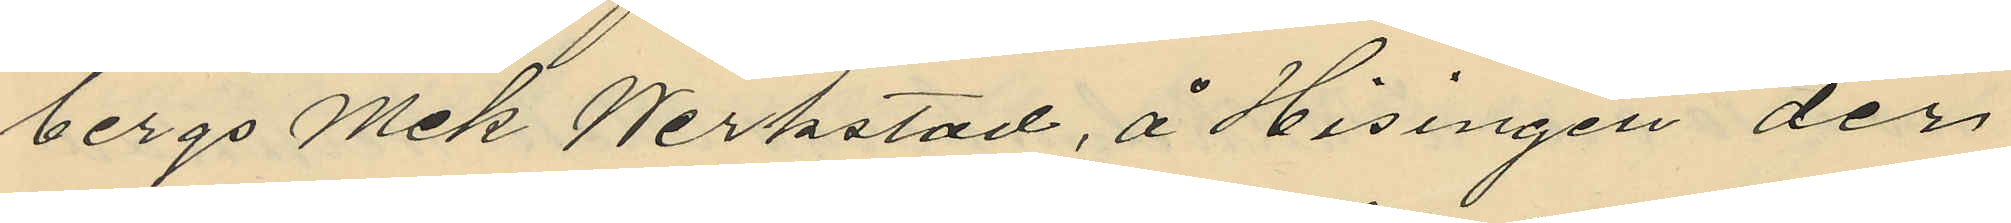bergs Mek Werkstad, å Hisingen der
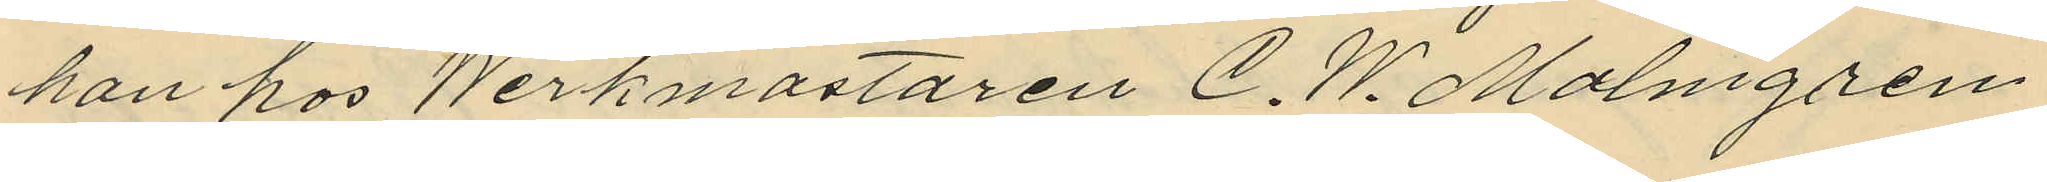han hos Werkmästaren C. W. Malmgren
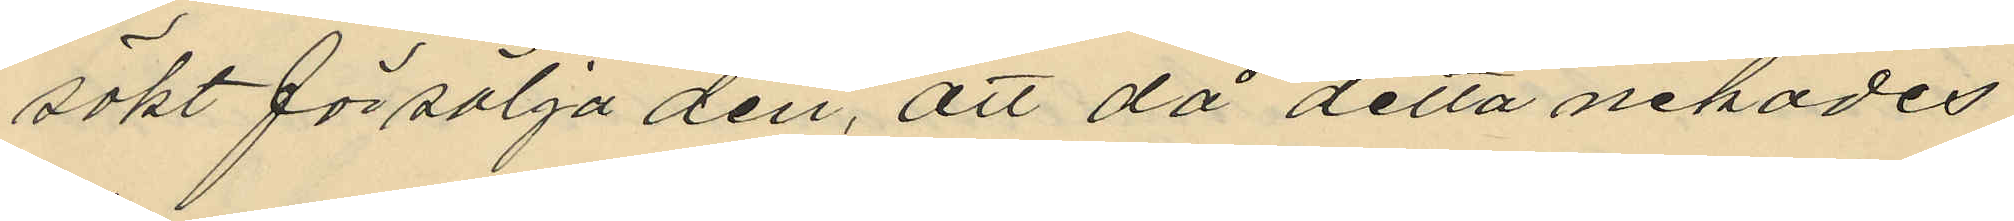sökt försälja den, att då detta nekades
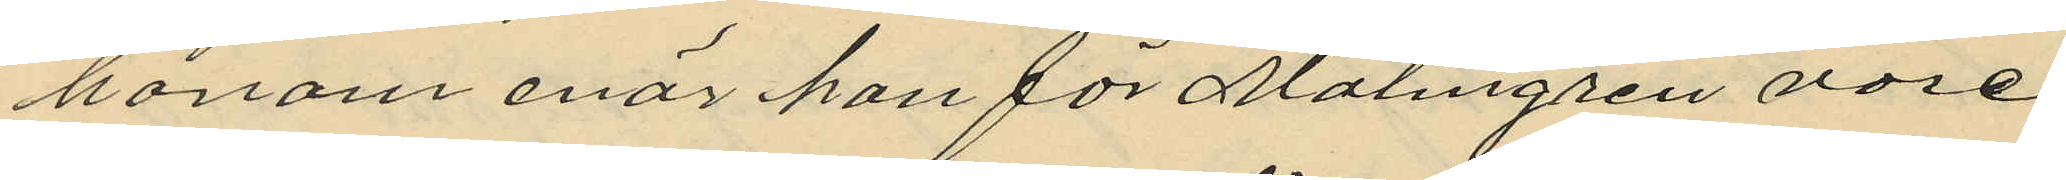honom enär hon för Malmgren vore
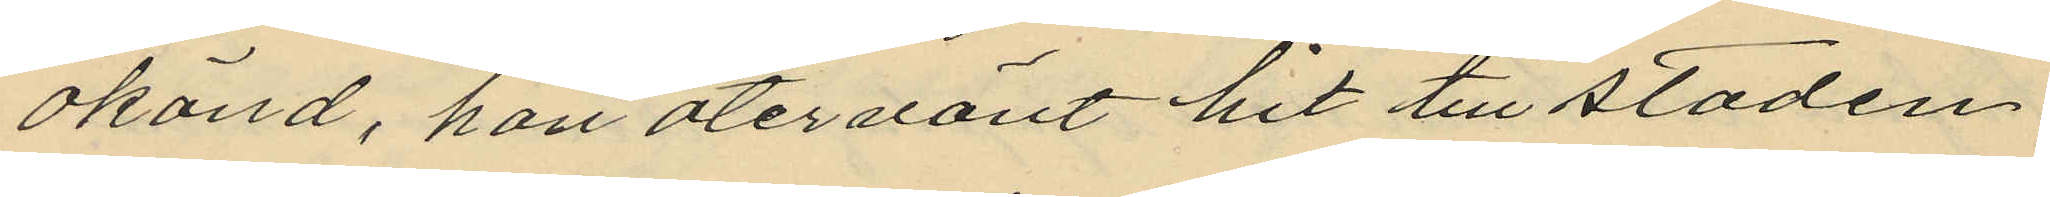okänd, han återvänit hit till staden
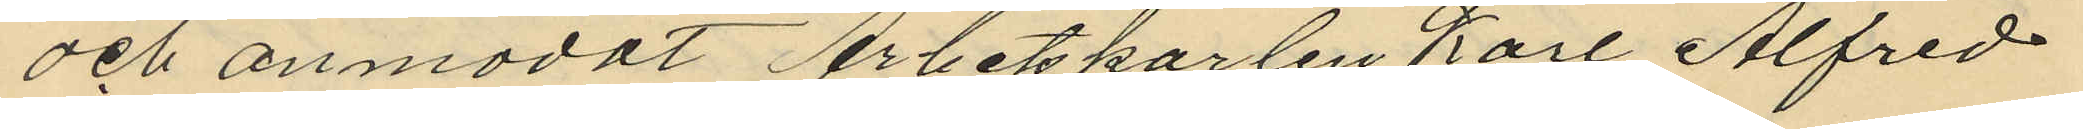och anmodat Arbetskarlen Karl Alfred
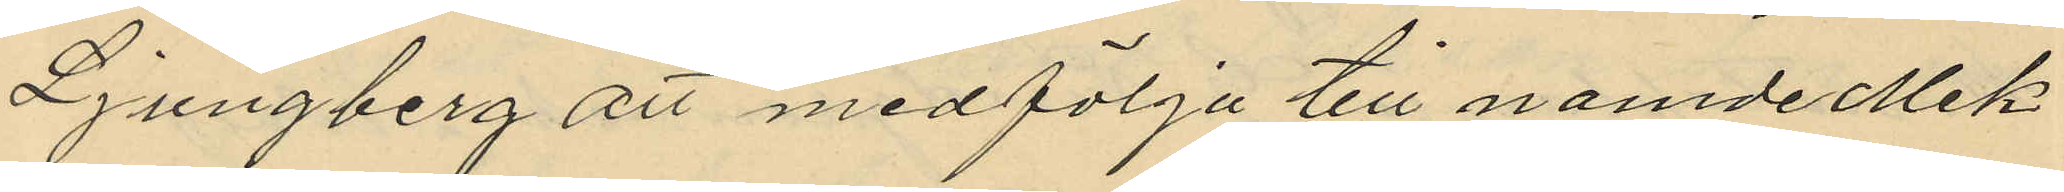Ljungberg att medfölja till nämde Mek¬
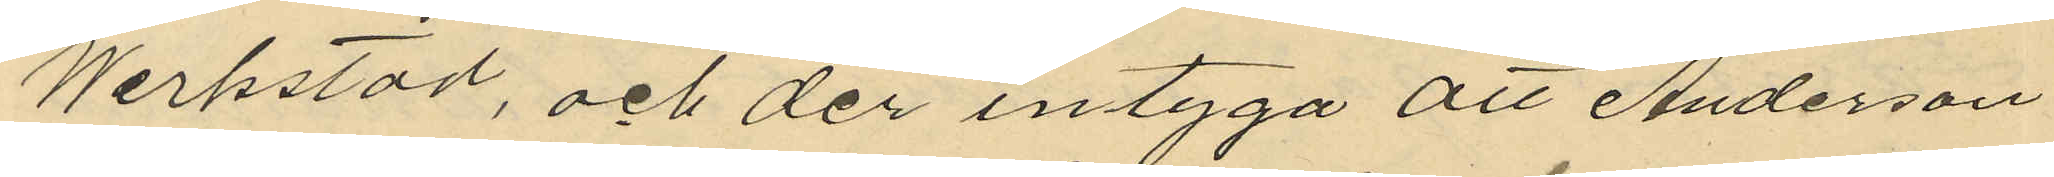Werkstad, och der intyga att Anderson
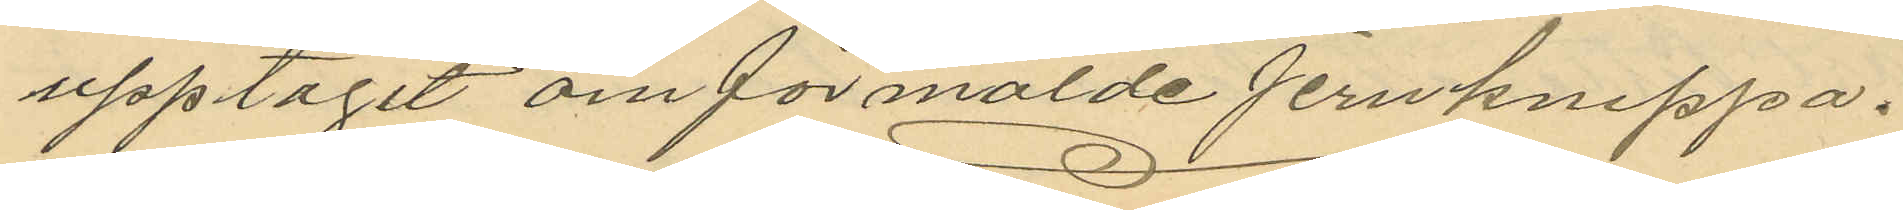upptagit om förmälde jernknippa.
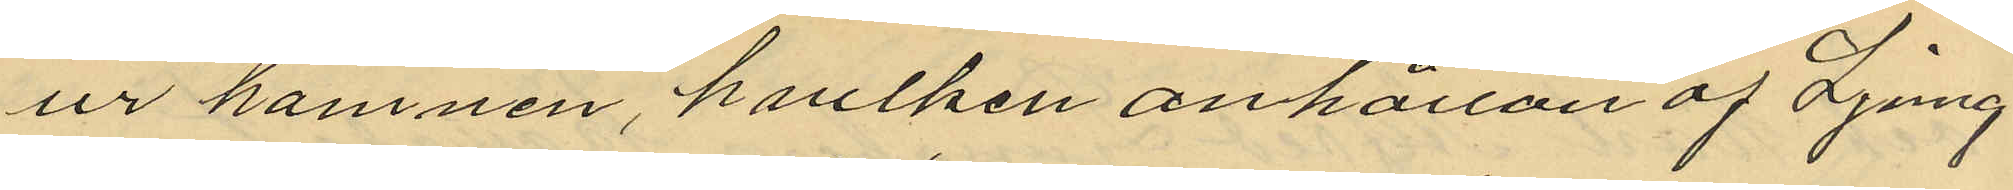ur hamnen, hvilken anhållan af Ljung
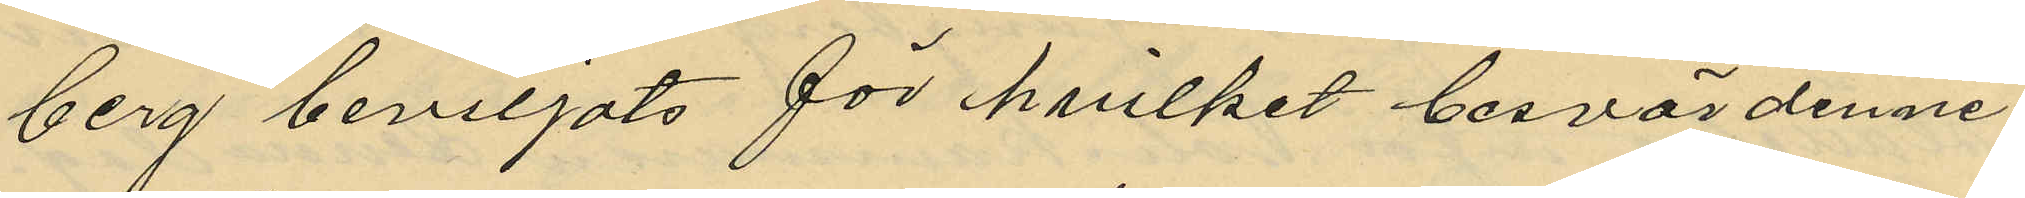berg beviljats för hvilket besvär denne
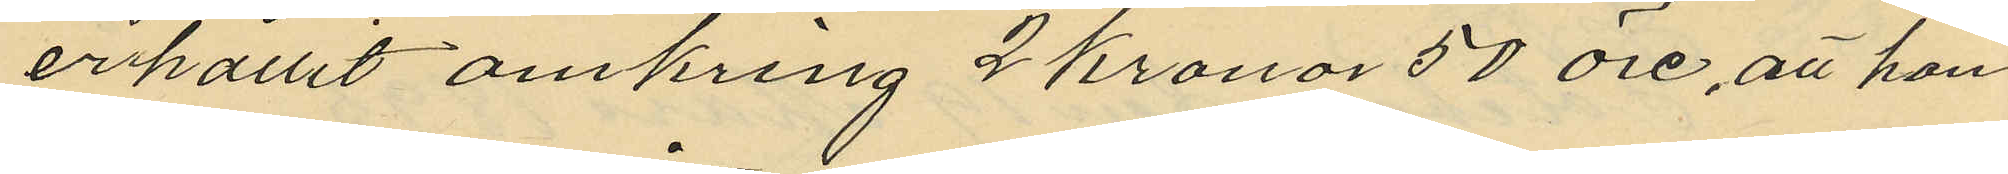erhållit omkring 2 kronor 50 öre, att han
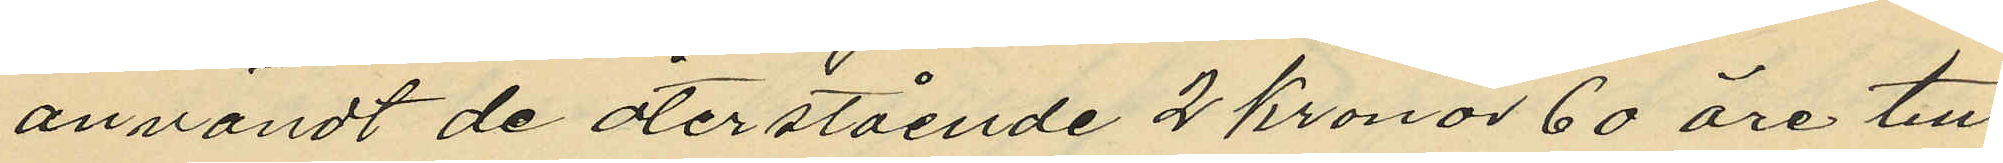användt de återstående 2 Kronor 60 öre till
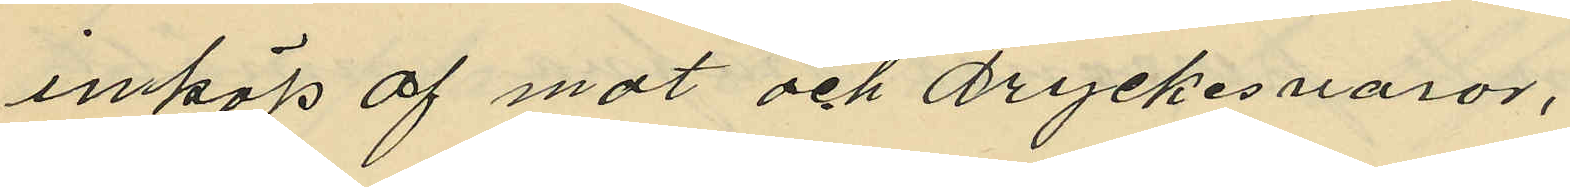inköp af mat och Dryckesvaror,
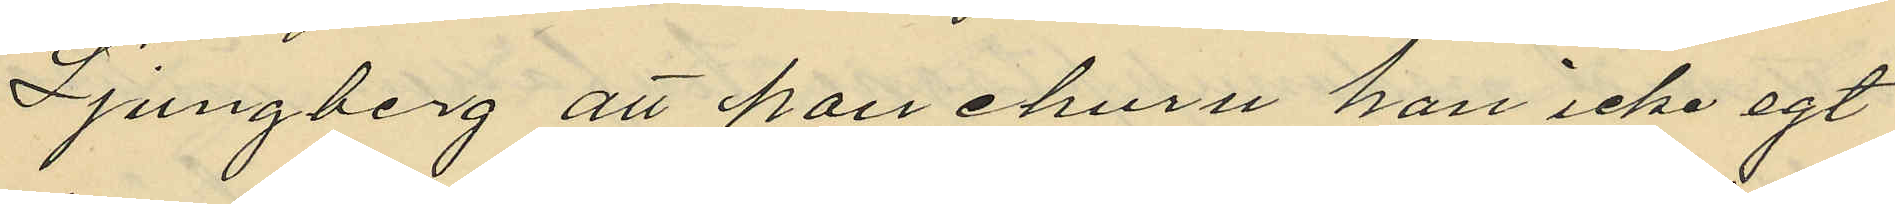Ljungberg att han ehuru han icke egt
